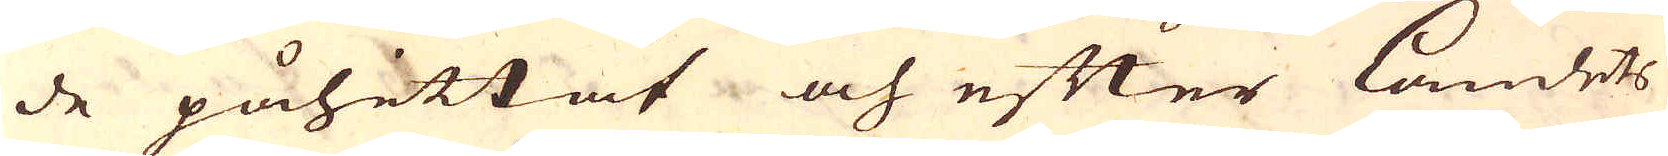de påhittat och efter Landets
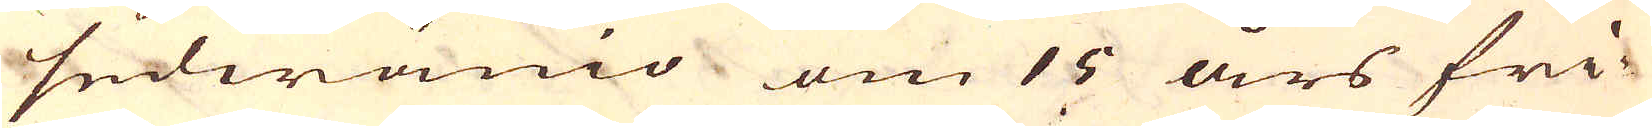sedwänio om 15 års fri-
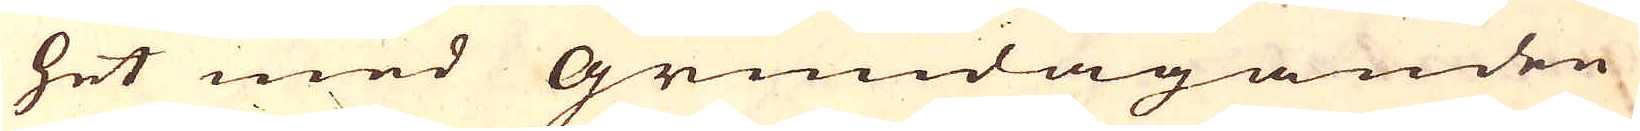het med grundäganden
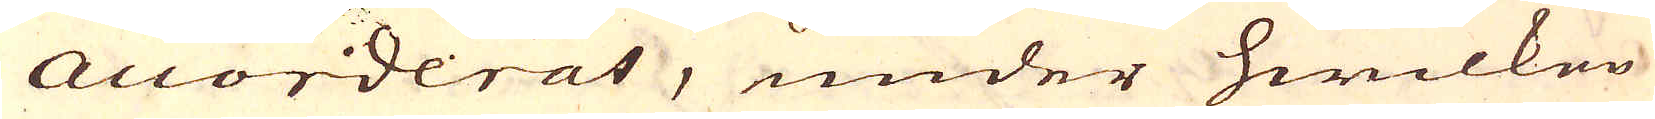accorderat, under hwilken
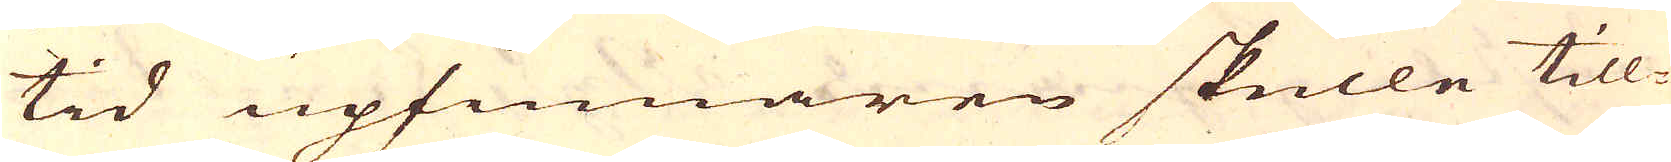tid upfinnaren skulle till-
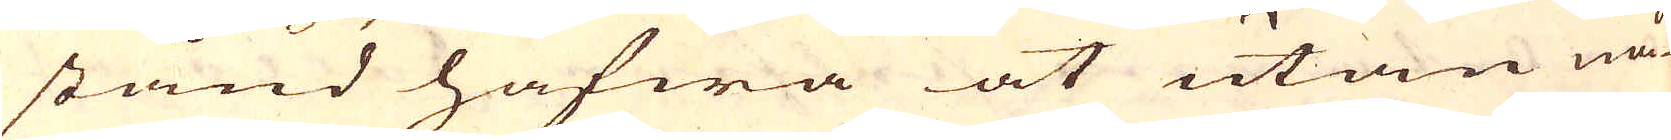stånd hafwa at utan nå-
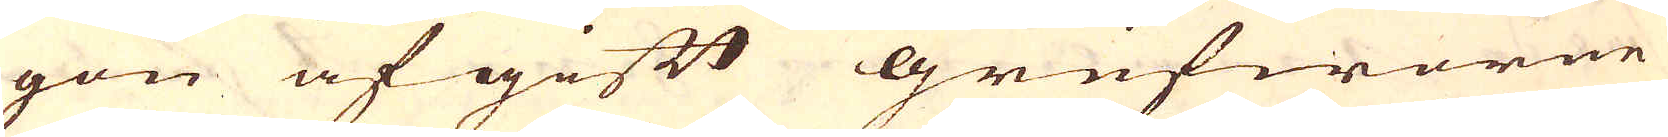gon afgift grufworne
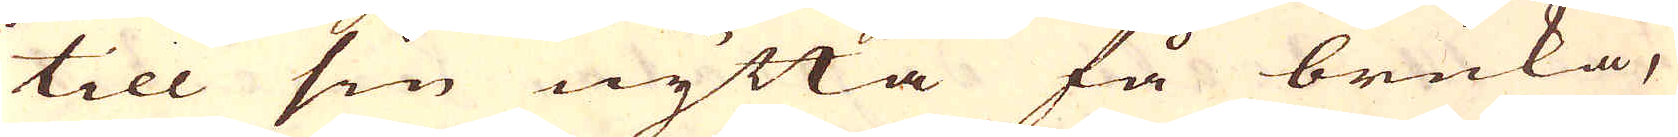till sin nytta få bruka,
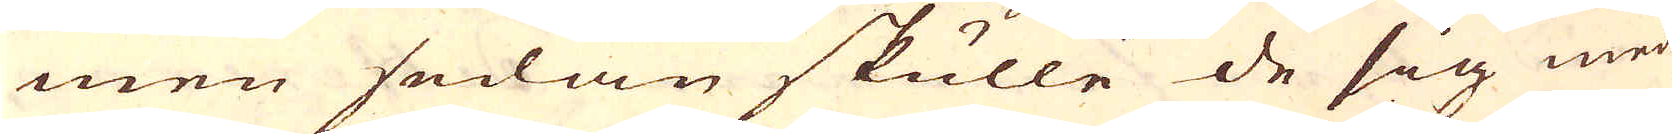men sedan skulle de sig med
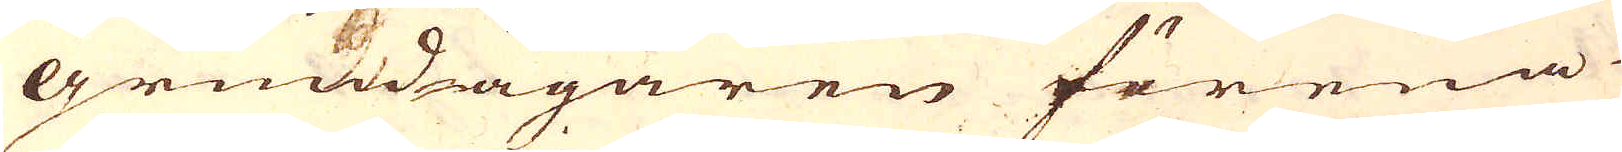grundägaren förena
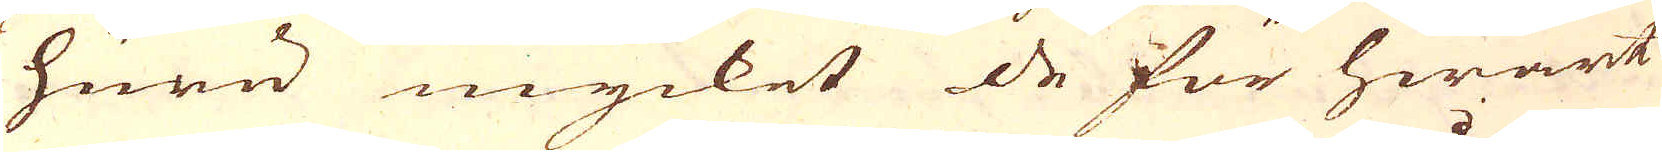huru mycket de för hwart
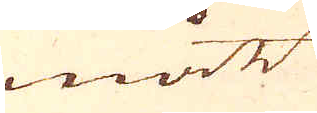mått
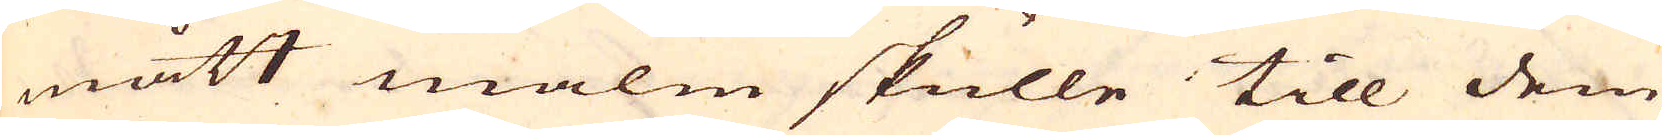mått malm skulle till dem
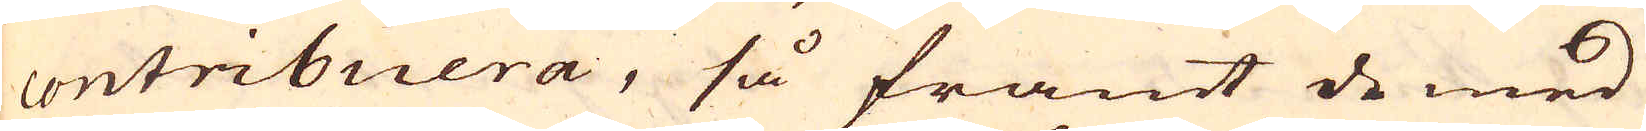contribuera, så framt de med
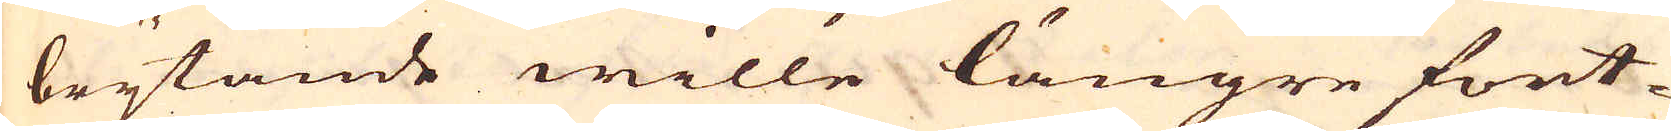brytande wille längre fort-
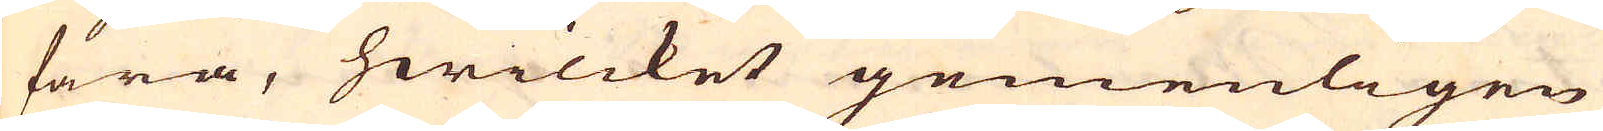fara, hwilcket gemenligen
